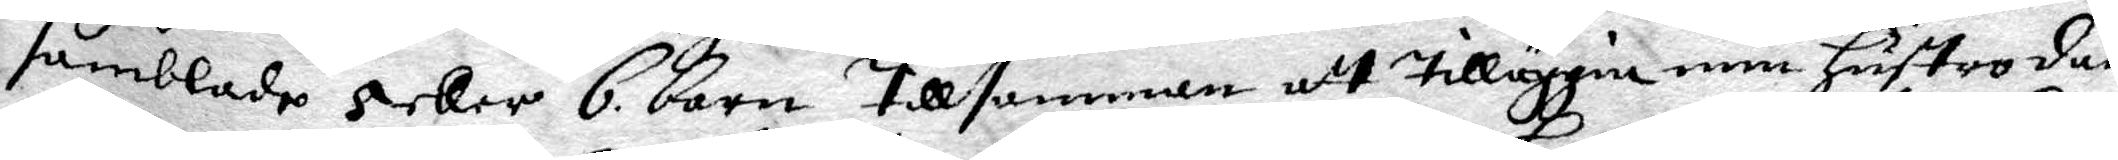samblade 5 eller 6 barn Tillsamman att Tilläggia min Hustro däm
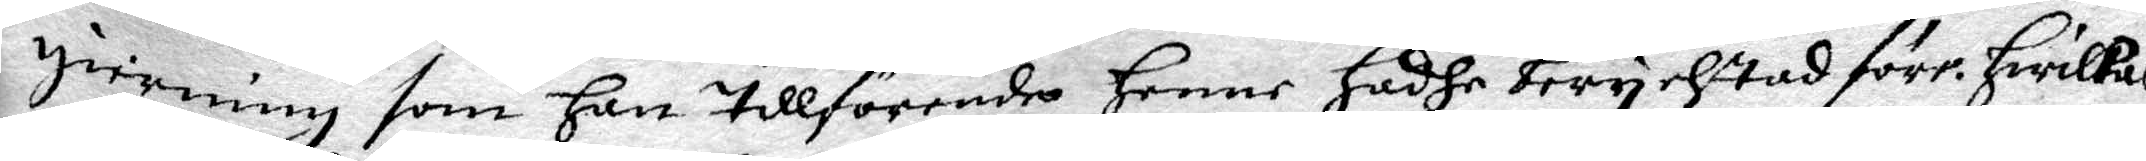gierning som Han Tillförende Henne Hadhe berychtad förr. Hwilkas
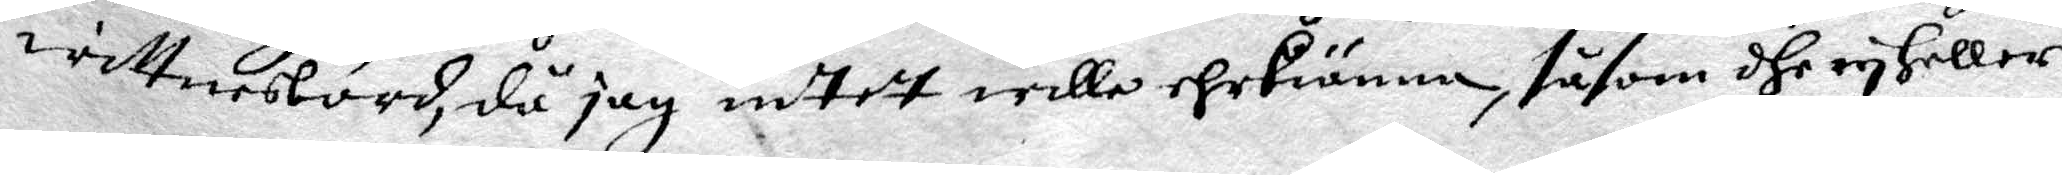wittnesbörd, då jag intet wille ehrkiänna, såsom dhe ey Heller
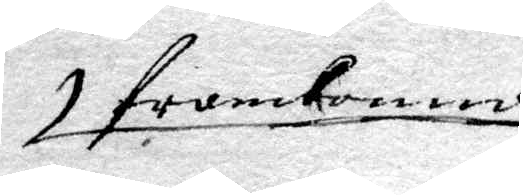framkommo
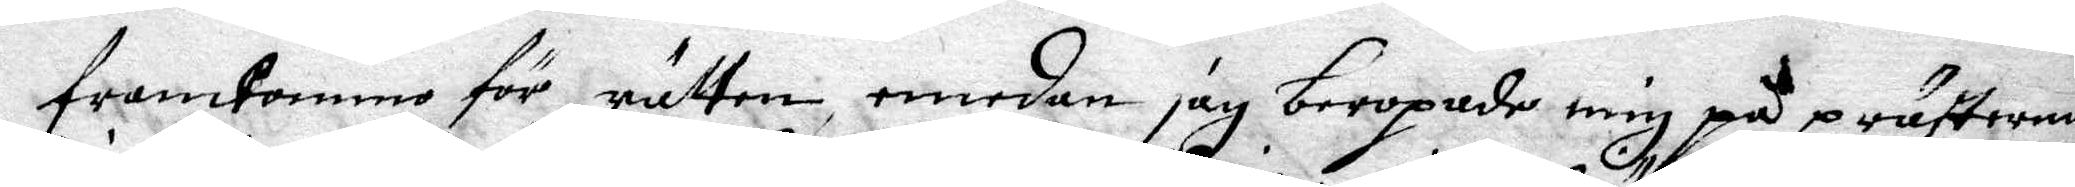framkommo för rätten, emedan jag beropade mig på prästernas
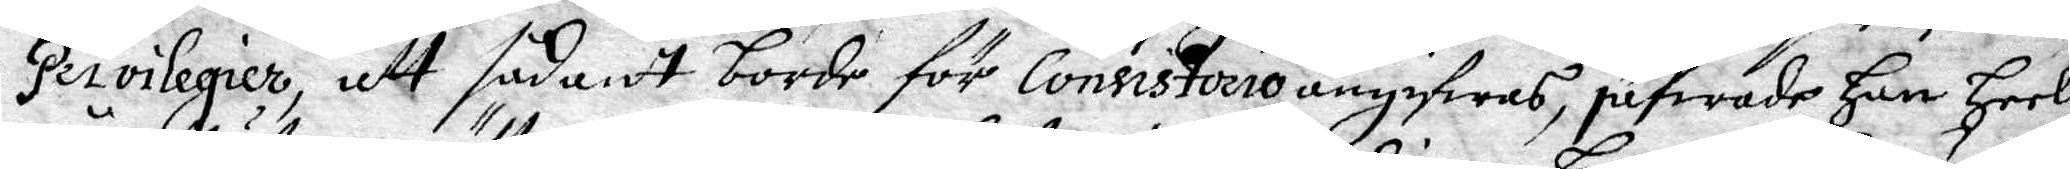Privilegier, att sådant borde för Consistorio angifwas, jäfwade Han Heela
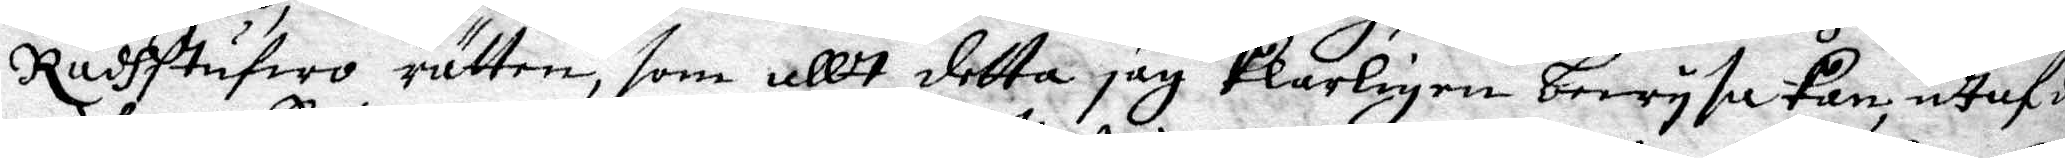Rådhstufwo rätten, som allt detta jag klarligen bewysa kan, uthaf de
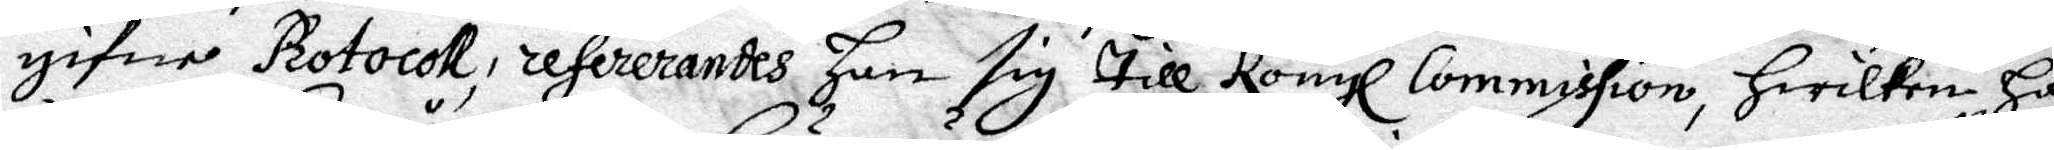gifne Protocoll, refererandes han sig till Kongl. Commission, hwilken Han
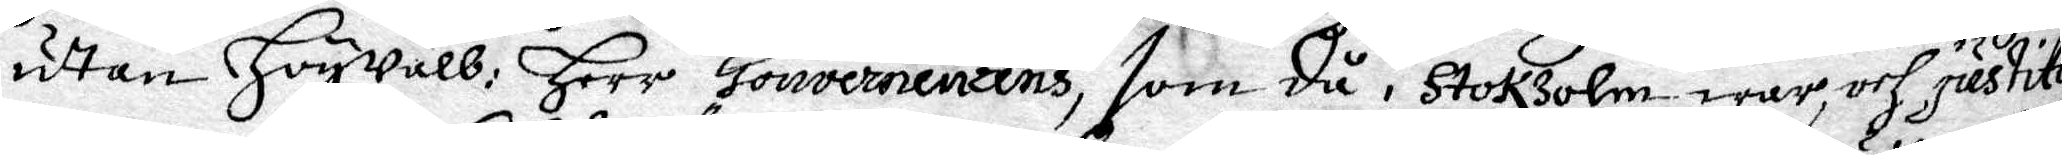utan Högwäll: Herr Gouvernenens, som då i Stokholm war, och justitet
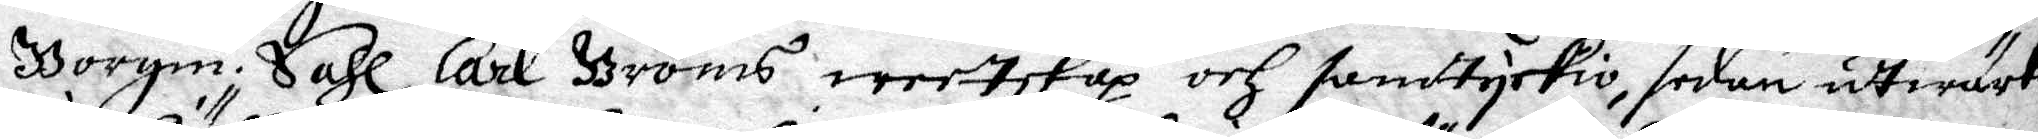Borgm. Sahl Carl Bröms weetskap och samtyckio, sedan utwärkade
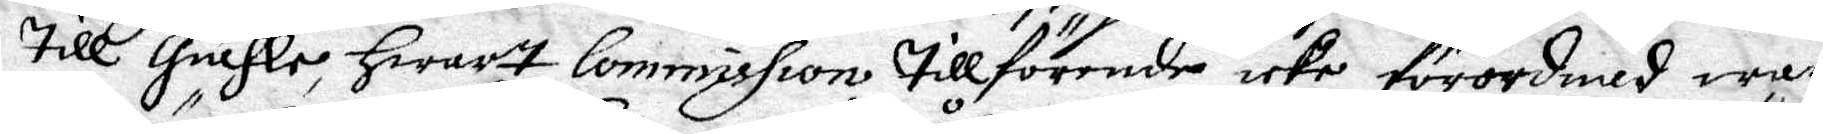till Giähle, hwart Commission tillförende icke förordnad war.
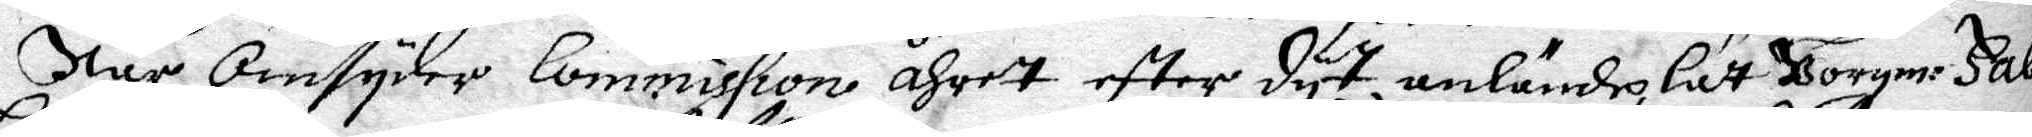När omsyder Commission åhret eftter dyt anlände, Lät Borgm: Falk
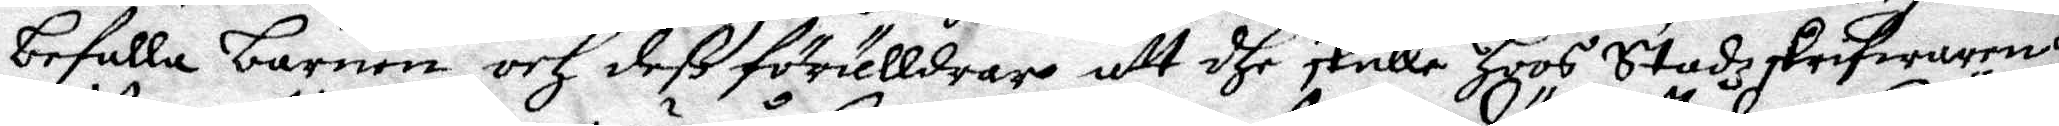befalla barnen och deß förälldrar att dhe skulle hoos Stadzskrifware 
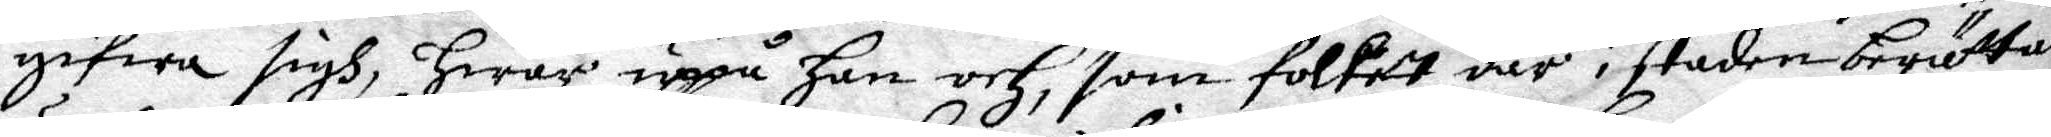gifwa sigh, hwar uppå han och, som folket där i staden berättade,
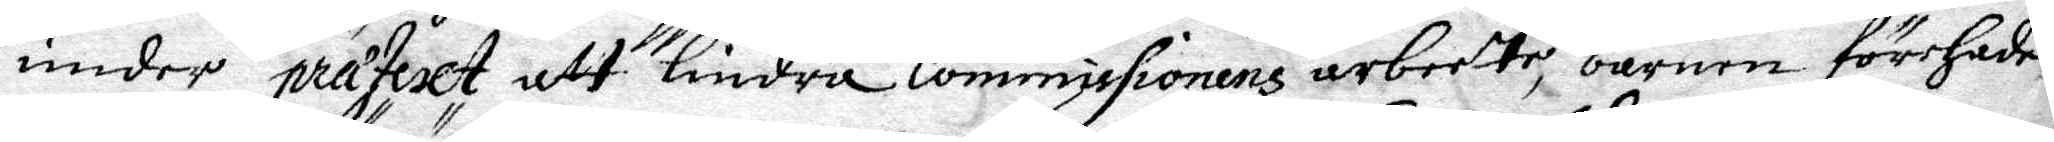under prateslt att lindra Commissionens arbeete, barnen förehade
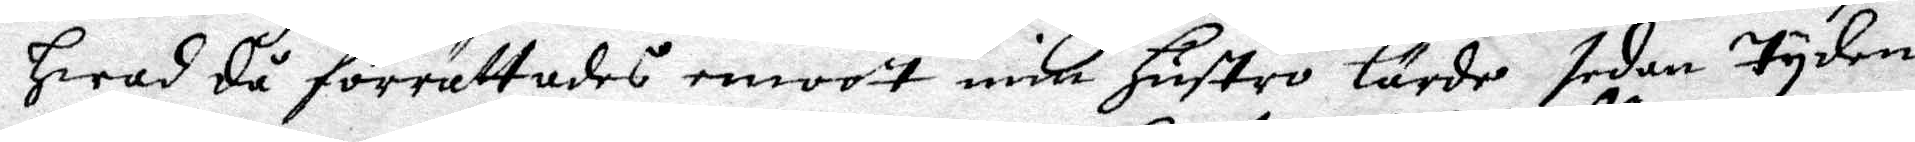hwad då förrättades emoott min hustro lärde sedan tyden.
